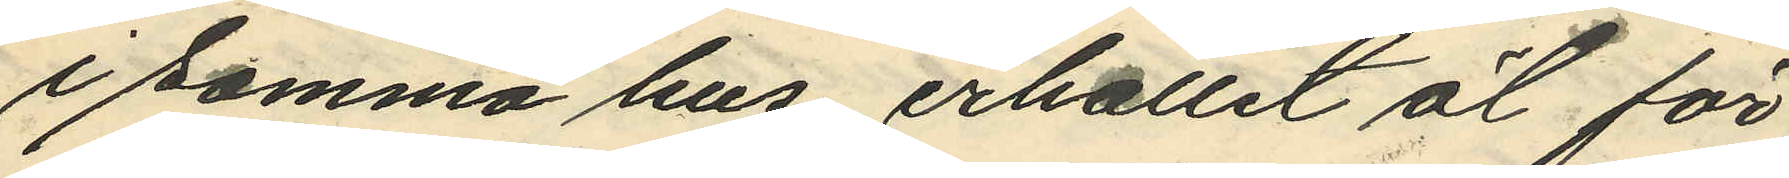i samma hus, erhållit öl för
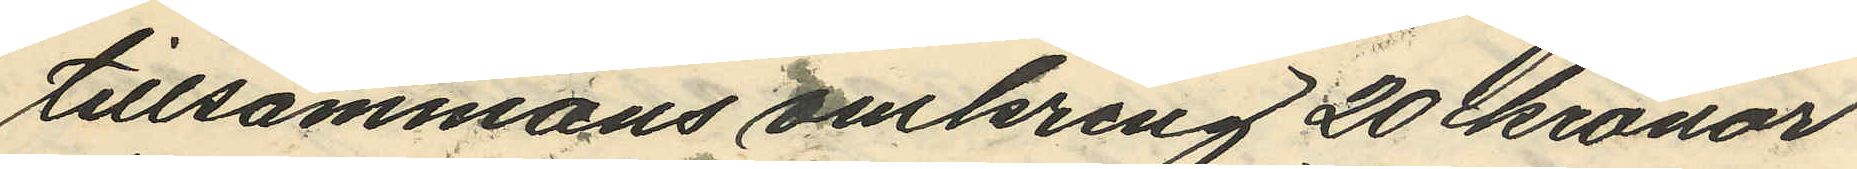tillsammans omkring 20 kronor
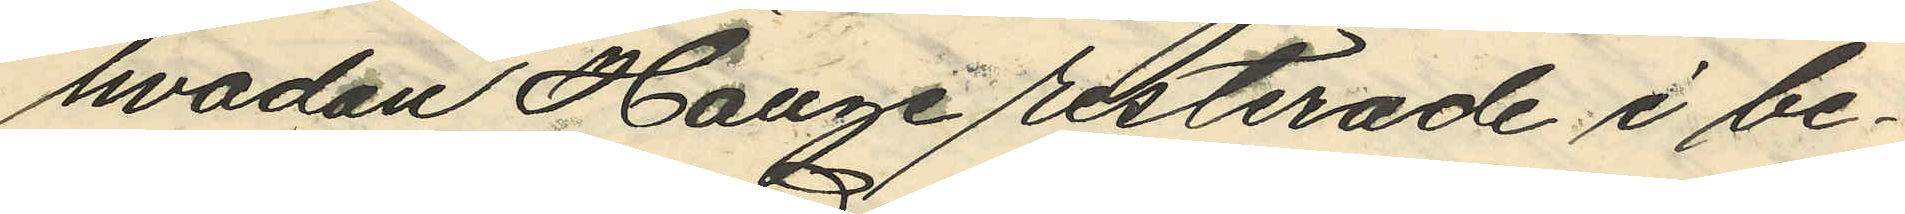hvadan Hauge resterade i be¬
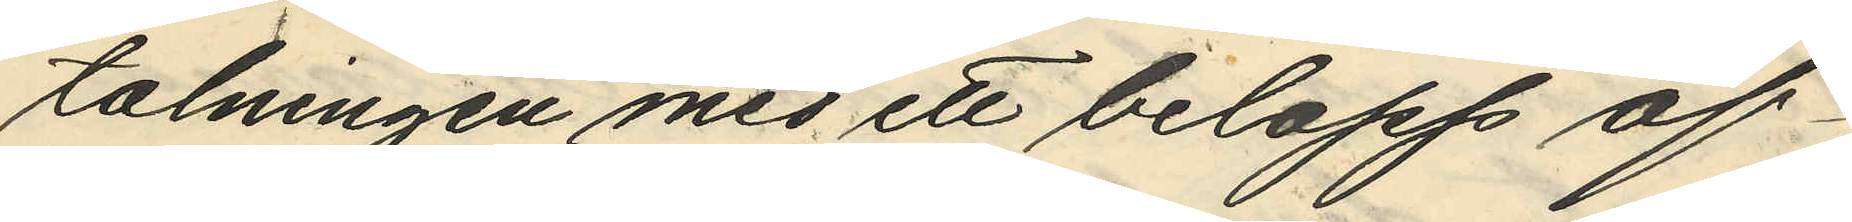talningen med ett belopp af
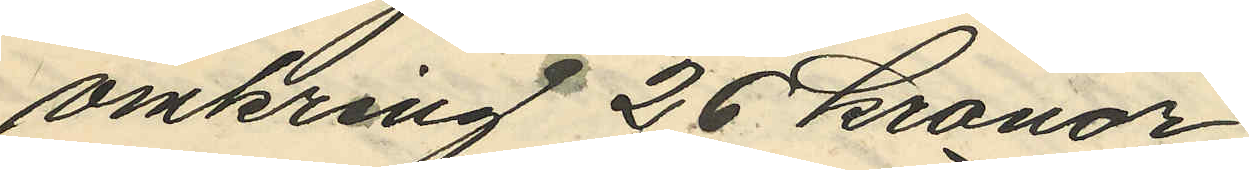omkring 26 kronor,
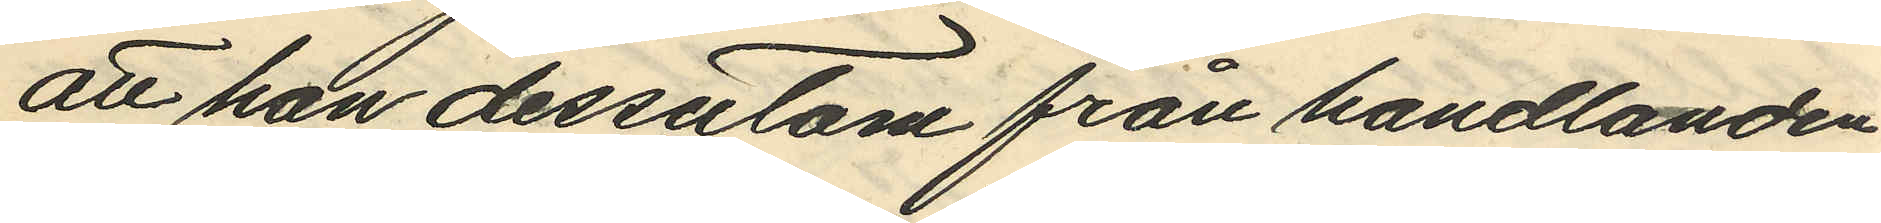att han dessutom från handlanden
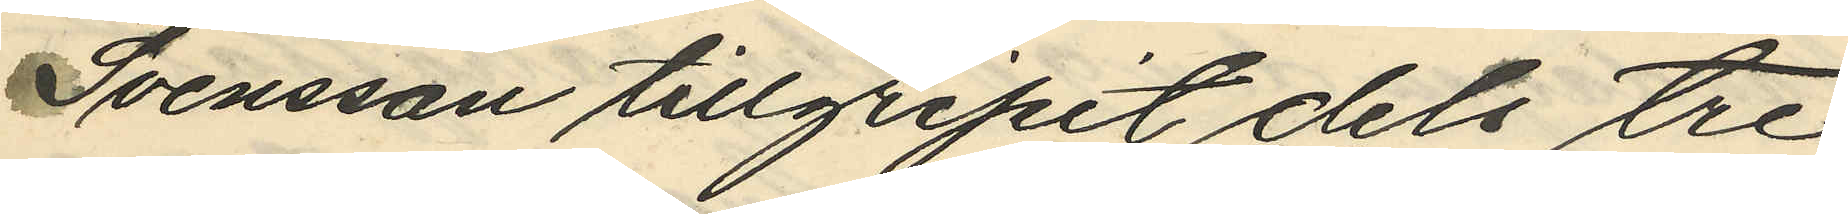Svensson tillgripit dels tre
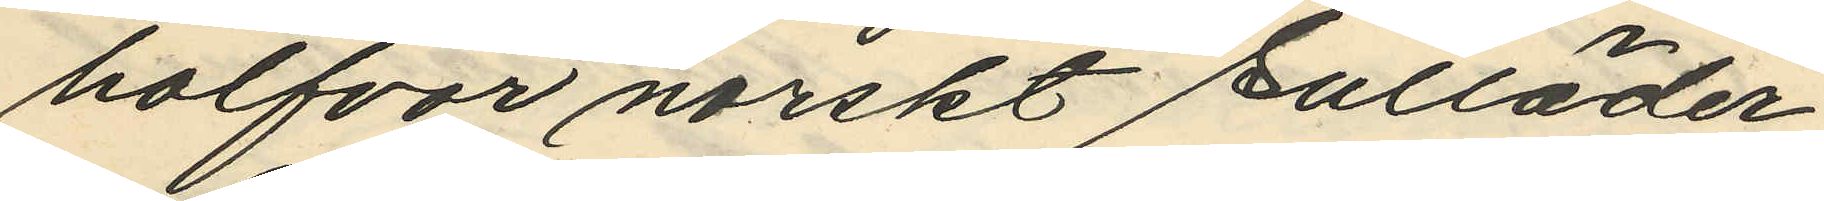halfvor norskt sulläder
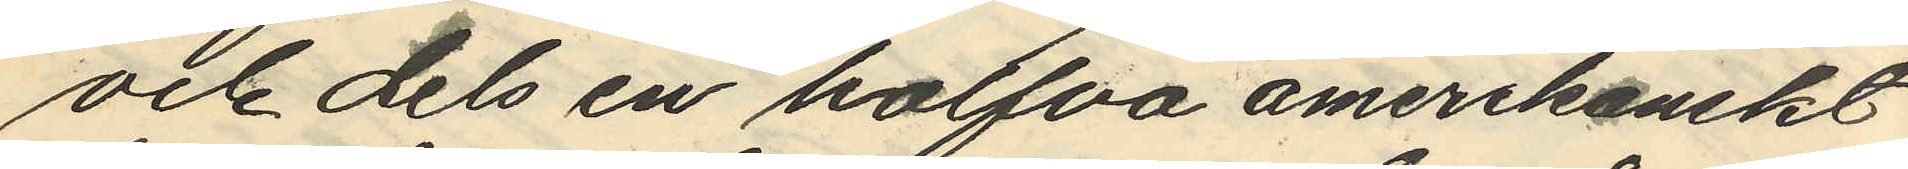och dels en halfva amerikanskt
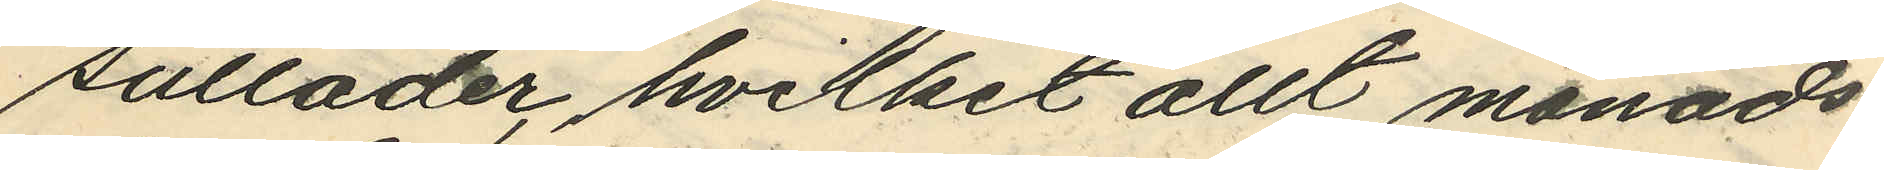sulläder, hvilket allt månads¬
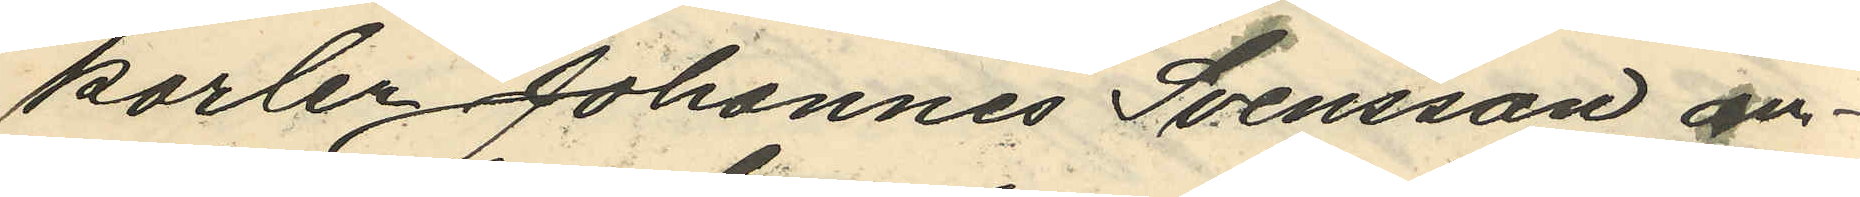karlen Johannes Svensson an¬
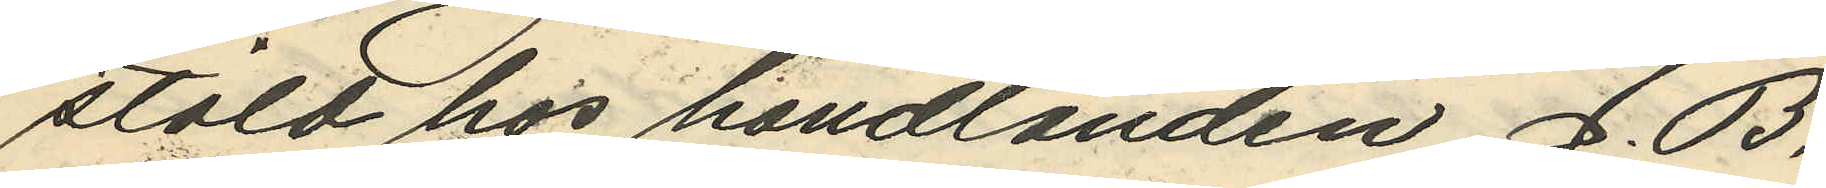stäld hos handlanden J. B.
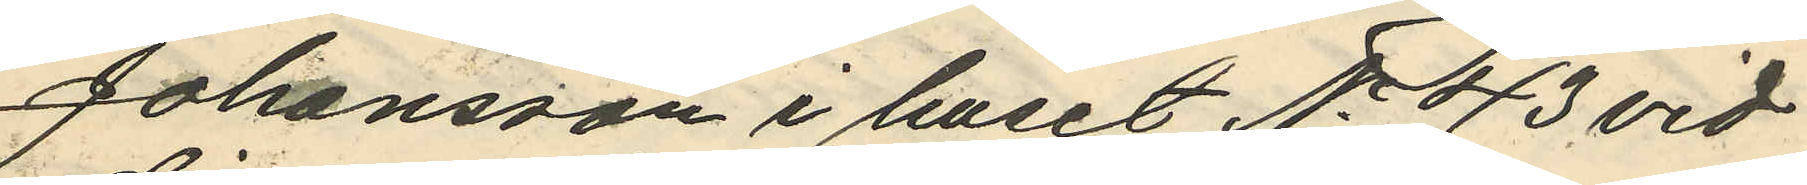Johansson i huset No 43 vid
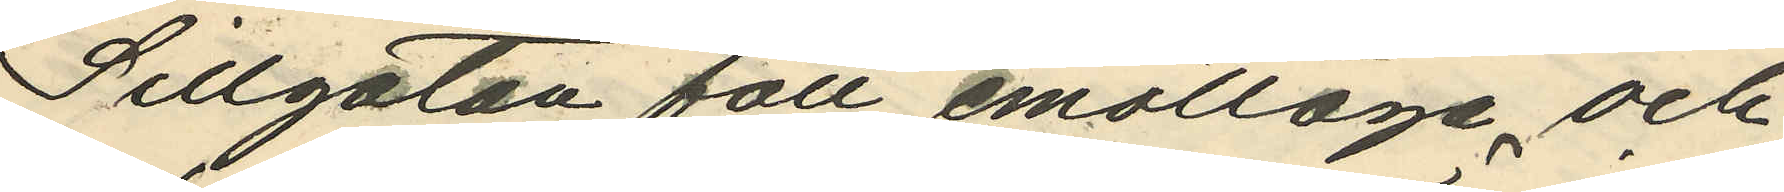Sillgatan fått emottaga och
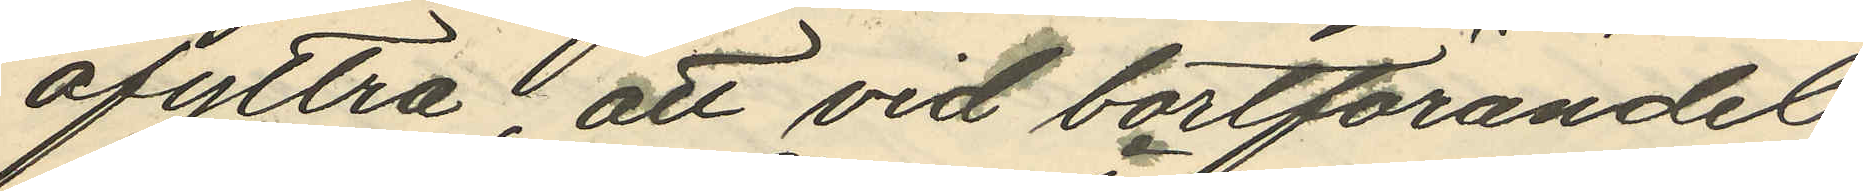afyttra, att vid bortförandet
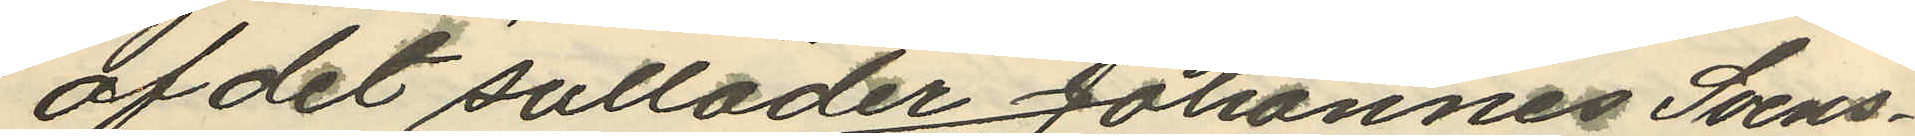af det sulläder Johannes Svens¬
